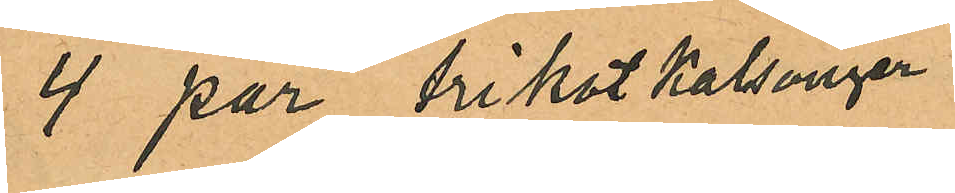4 par trikotkalsonger
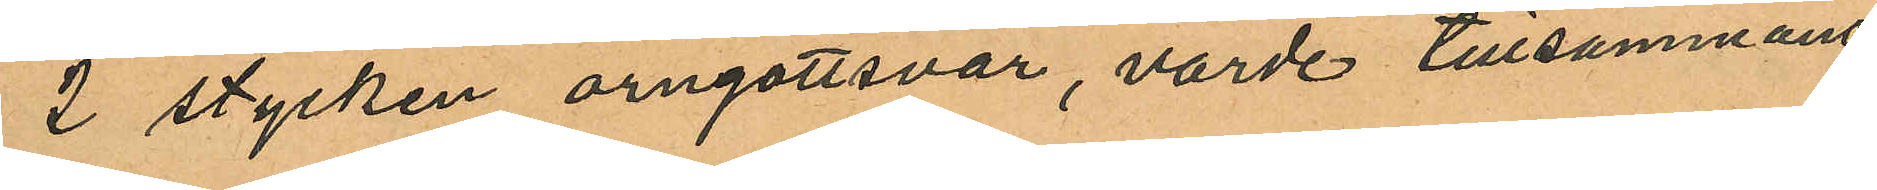2 stycken örngottsvar, värde tillsammans
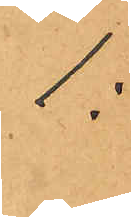1:
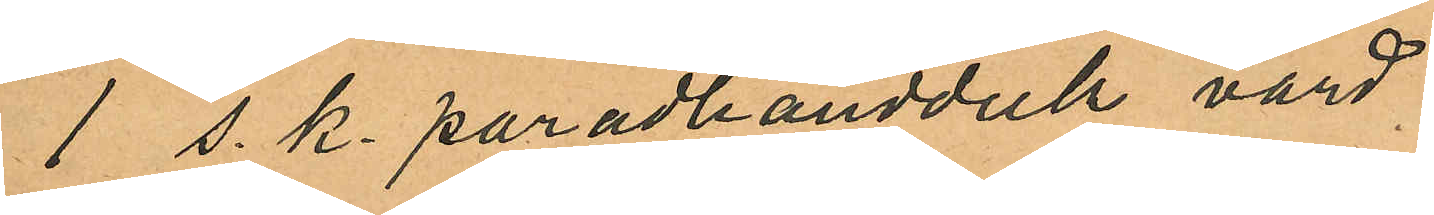1 s. k. paradhandduk värd
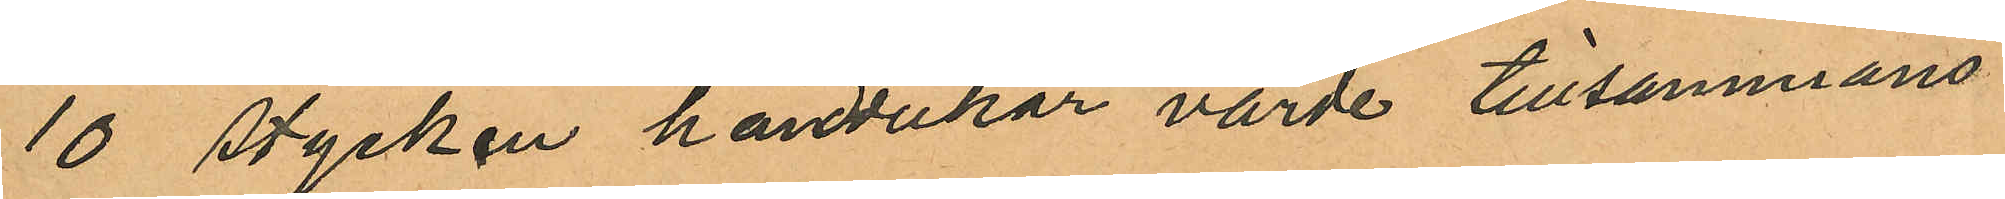10 stycken handdukar värde tillsammans
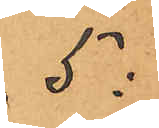5:
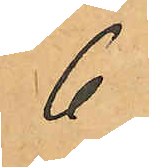6
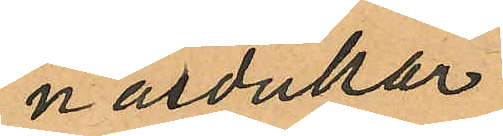näsdukar
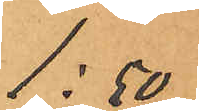1:50
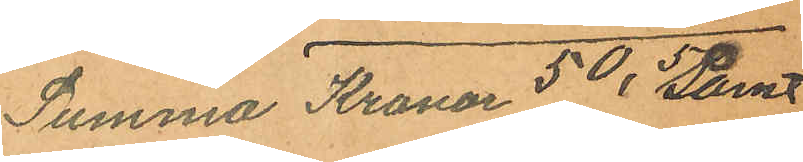Summa Kronor 50,50 samt
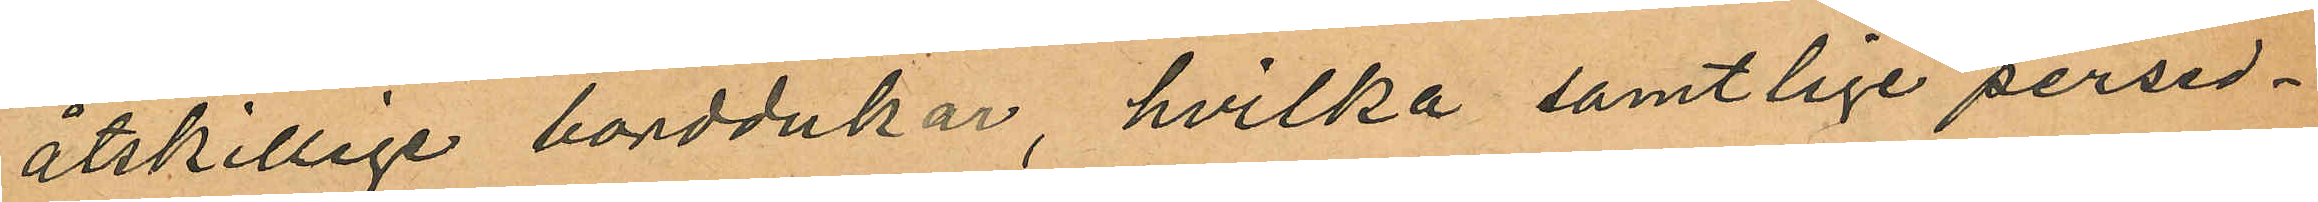åtskillige borddukar, hvilka samtlige persed¬
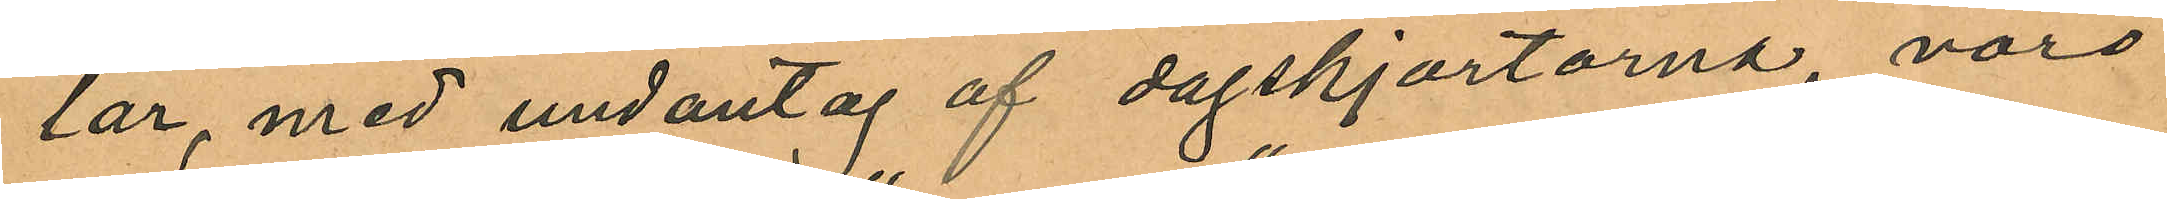lar, med undantag af dagskjortorna, voro
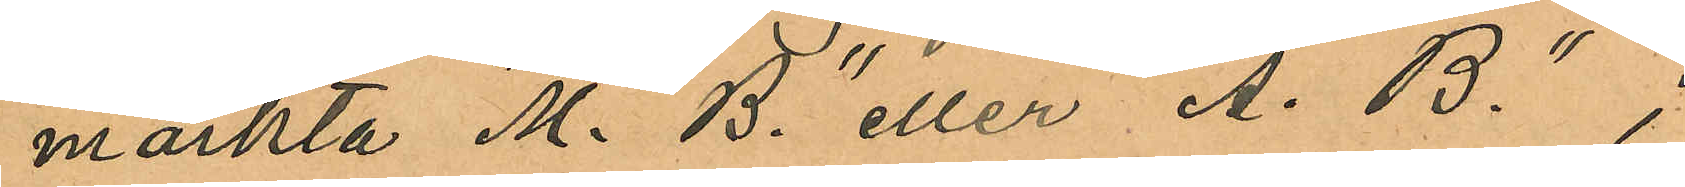märkta "M. B." eller "A. B.";
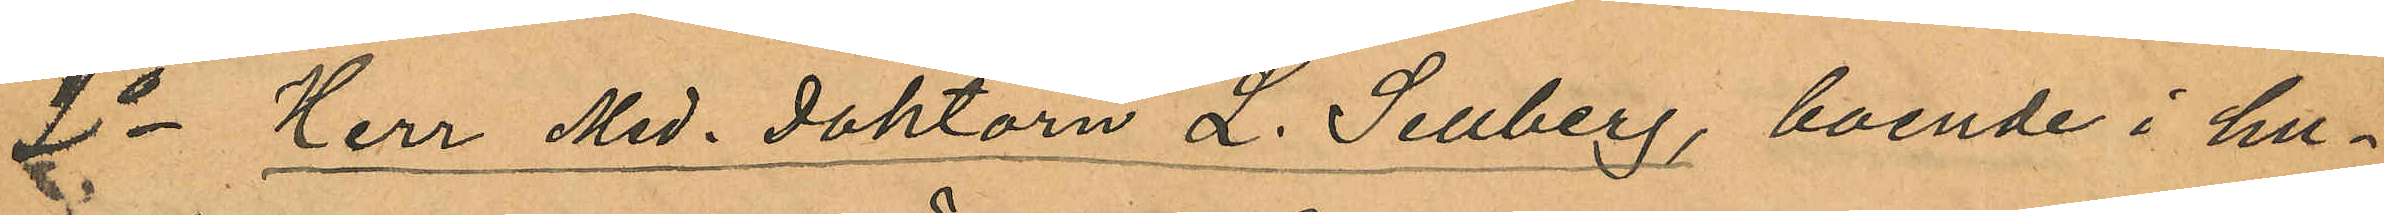2o Herr Med. Doktorn L. Sellberg, boende i hu¬
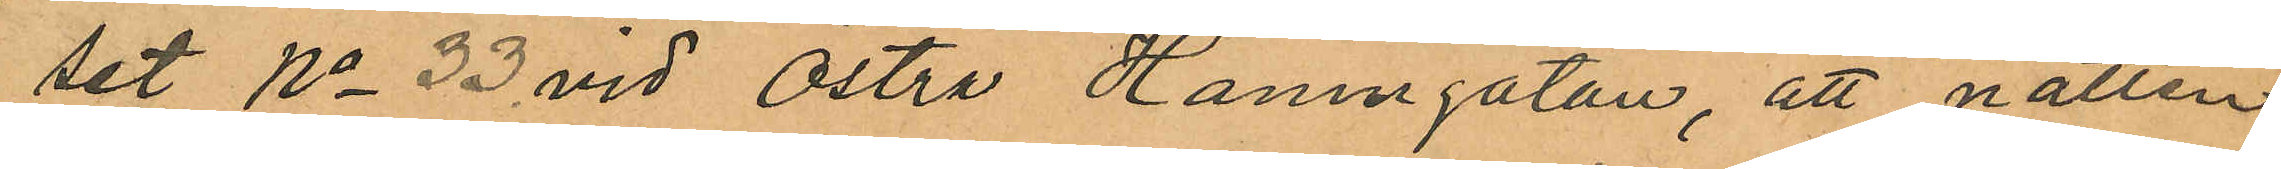set No 33 vid Östra Hamngatan, att natten
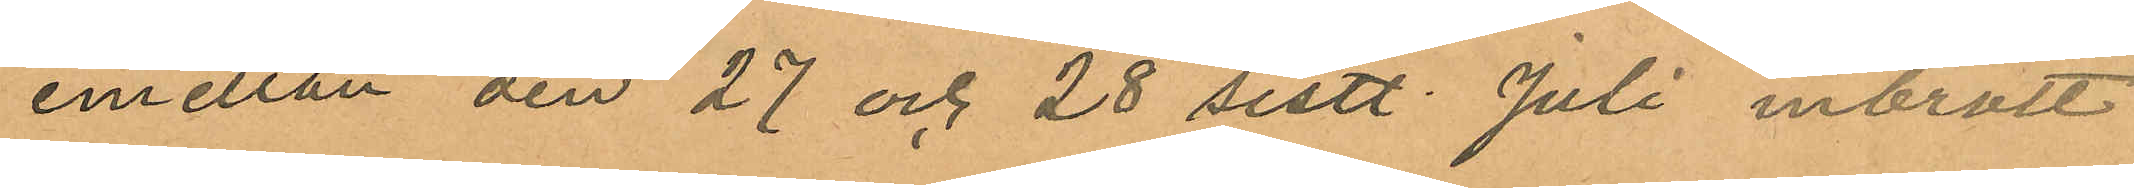emellan den 27 och 28 sistl. Juli inbrott
